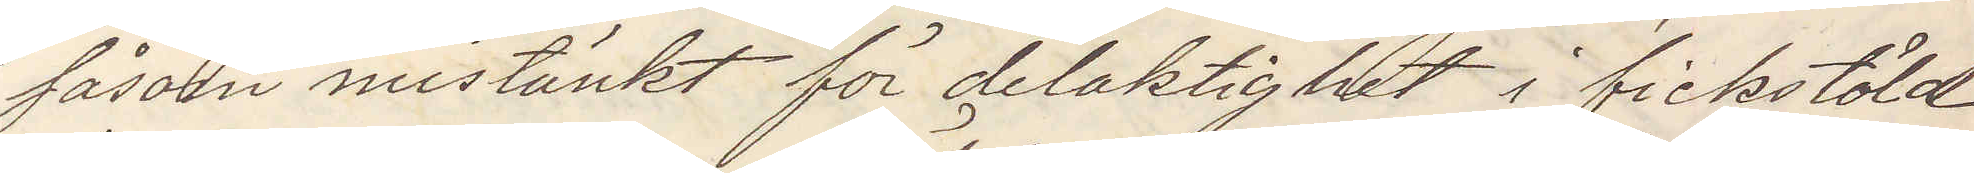såsom mistänkt för delaktighet i fickstöld
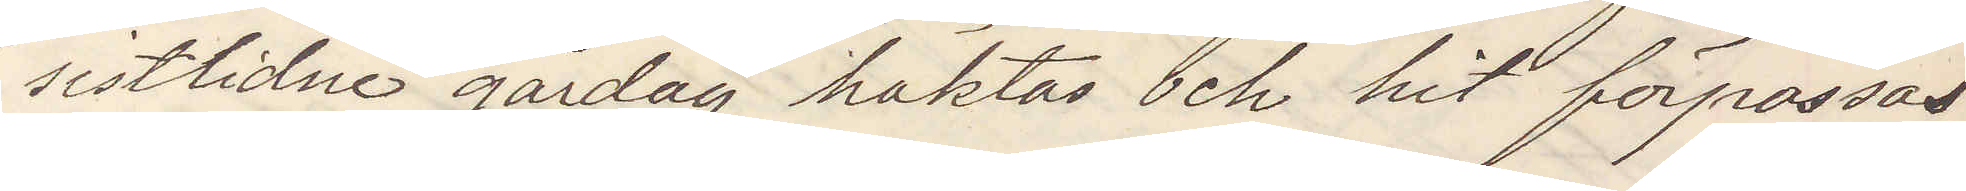sistlidne gårdag häktas och hit förpassas
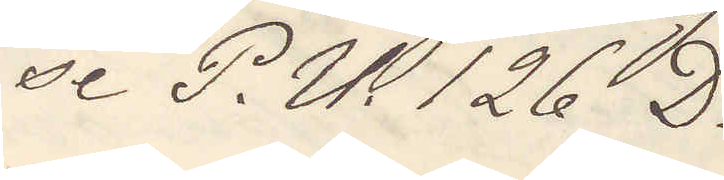se P. U. 126 D.
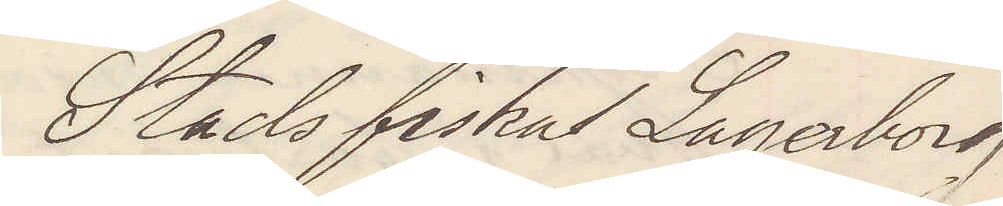Stadsfiskal Lagerborg
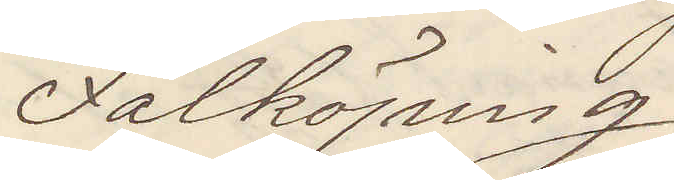Falköping
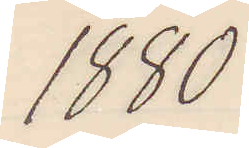1880
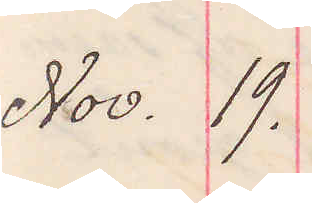Nov. 19.
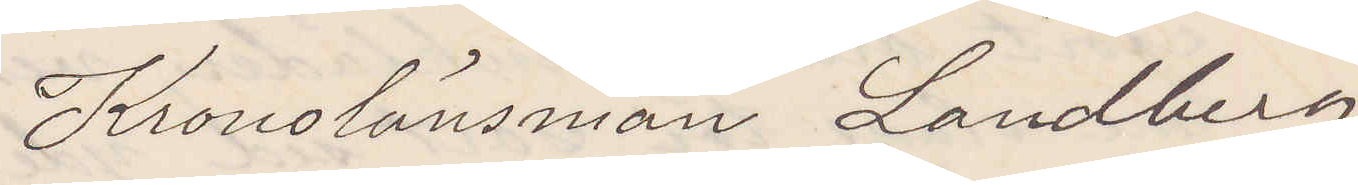Kronolänsman Landberg 
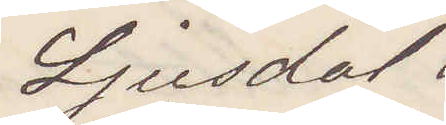Ljusdal
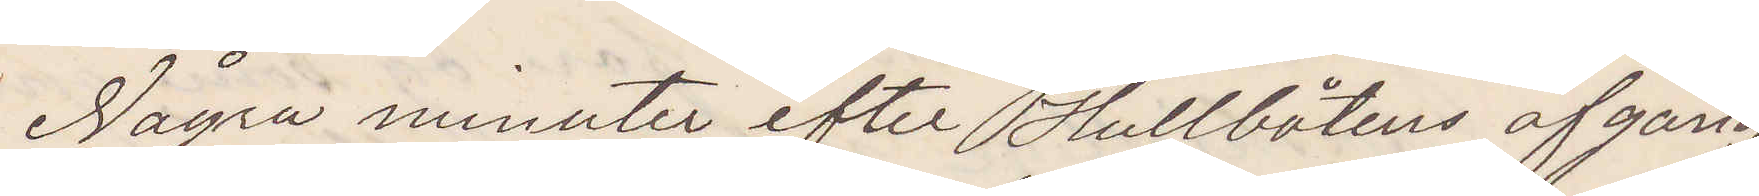Några minuter efter Hullbåtens afgång
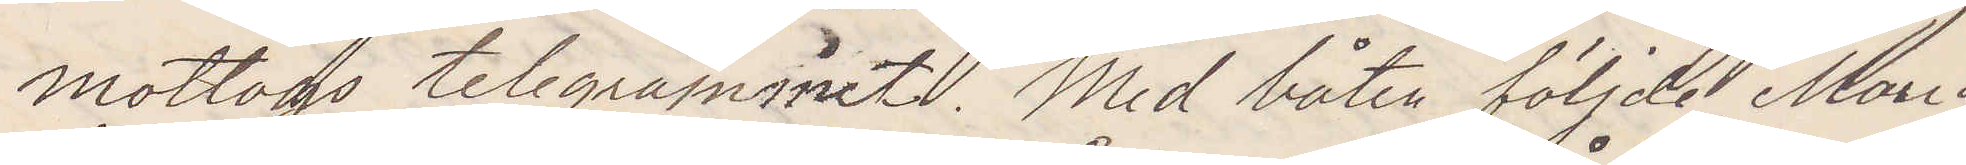mottogs telegrammet. Med båten följde Maria
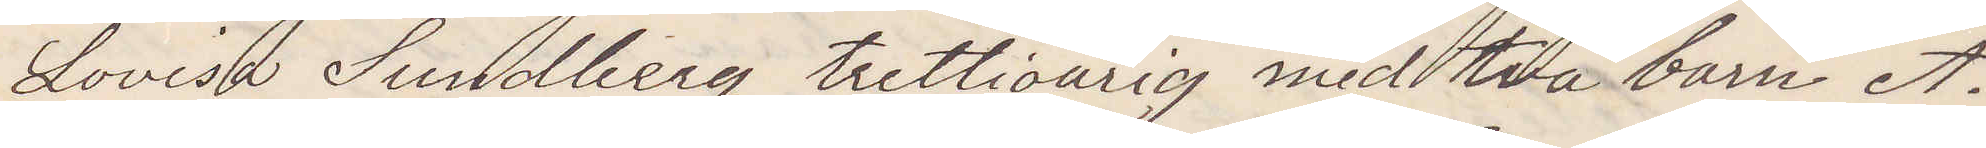Lovisa Sundberg trettioårig med två barn A.
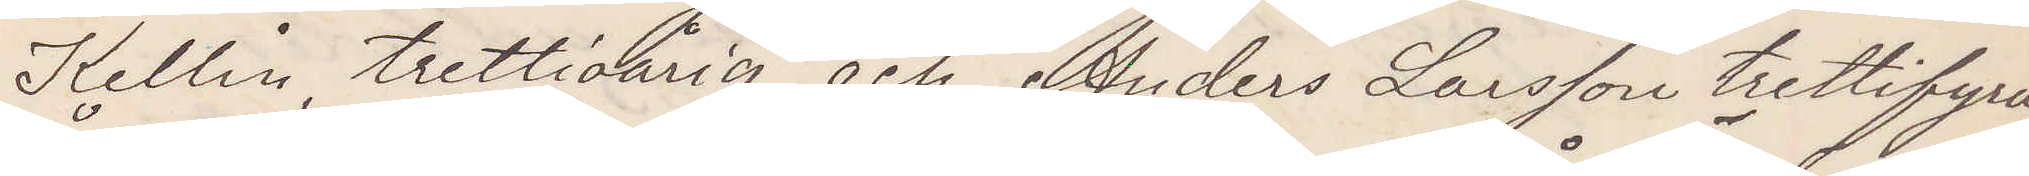Kellin, trettioårig, och Anders Larsson trettiofyra¬
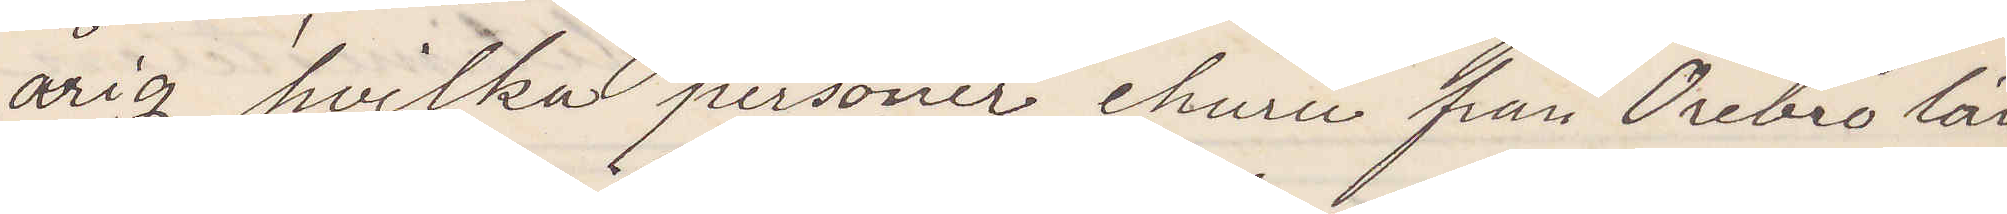årig, hvilka personer, ehuru från Örebro lär
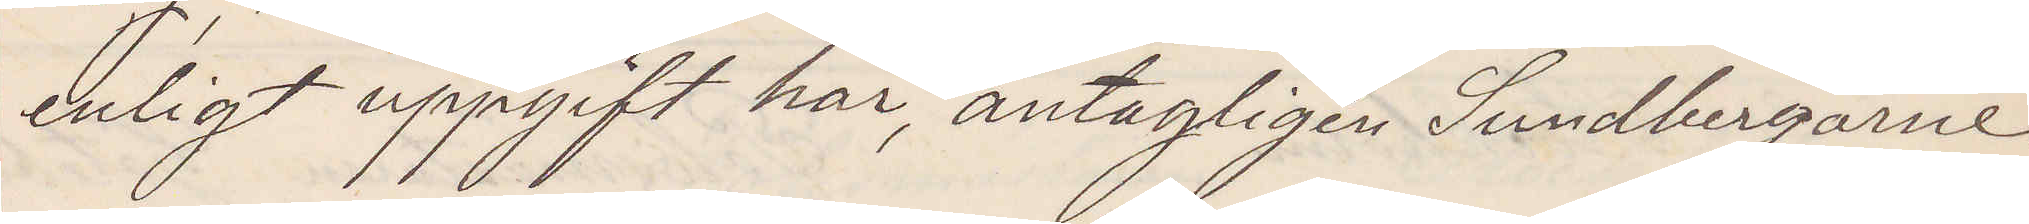enligt uppgift här, antagligen Sundbergarne.
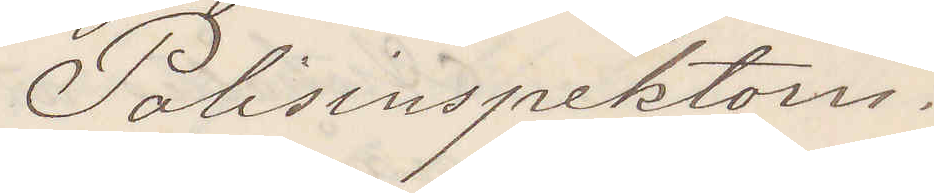Polisinspektorn.
